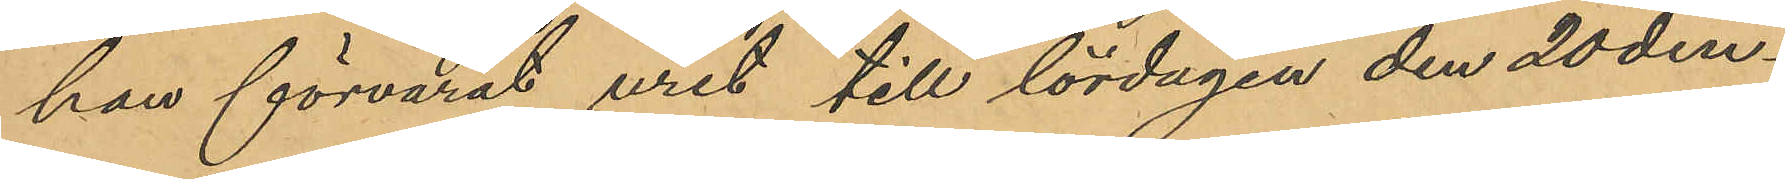han förvarat uret till lördagen den 20 den¬
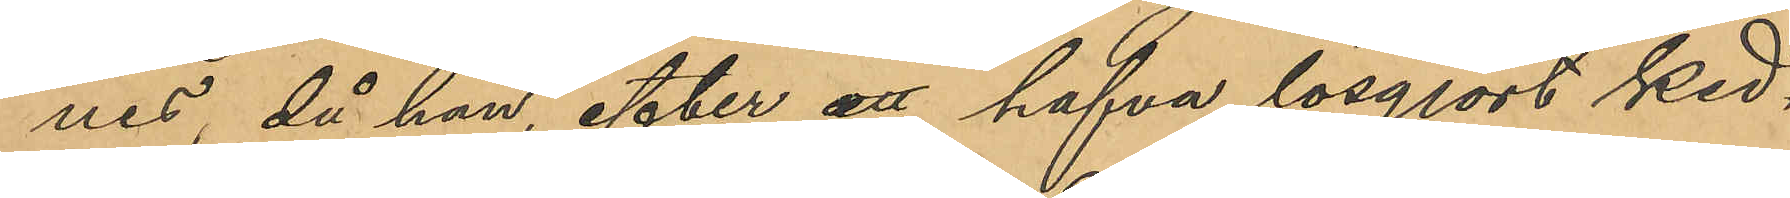nes, då han, efter att hafva lösgjort ked¬
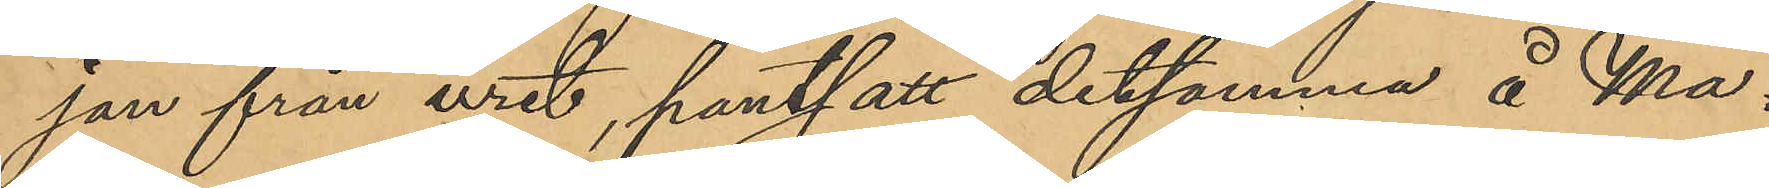san från uret, pantsatt detsamma å Ma¬
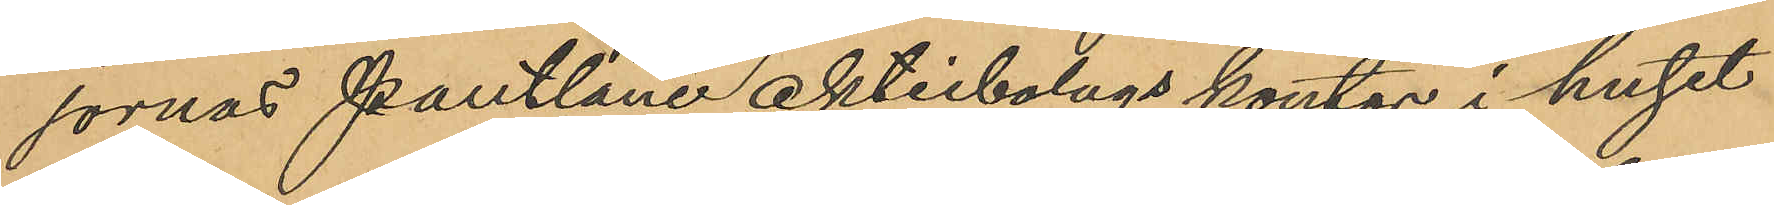jornas pantlåne aktiebolags kontor i huset
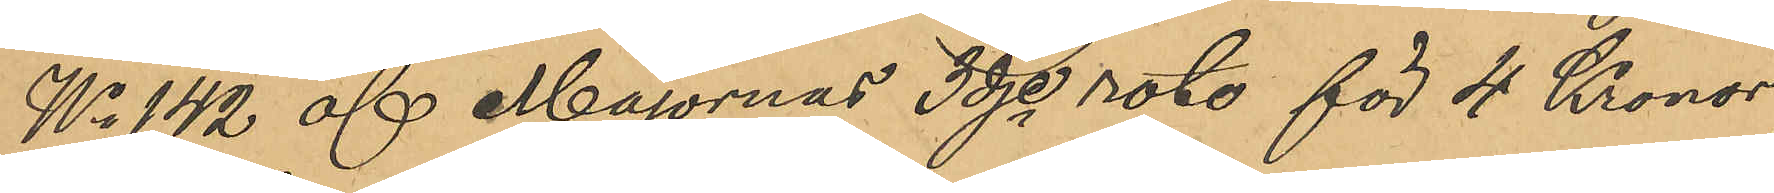No 142 af Majornas 3dje rote för 4 Kronor,
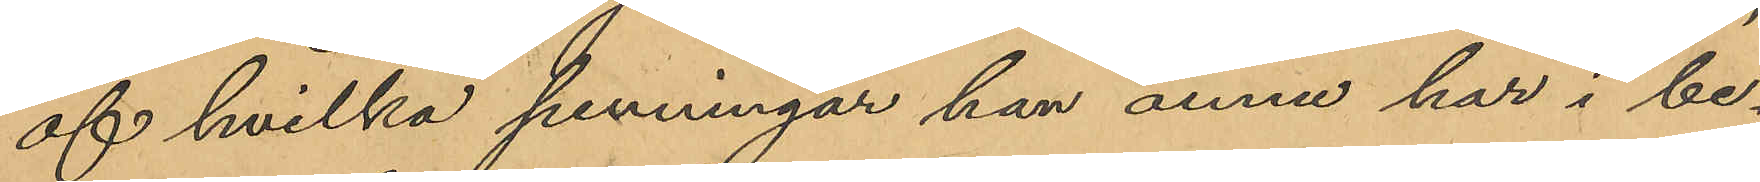af hvilka penningar han ännu har i be¬
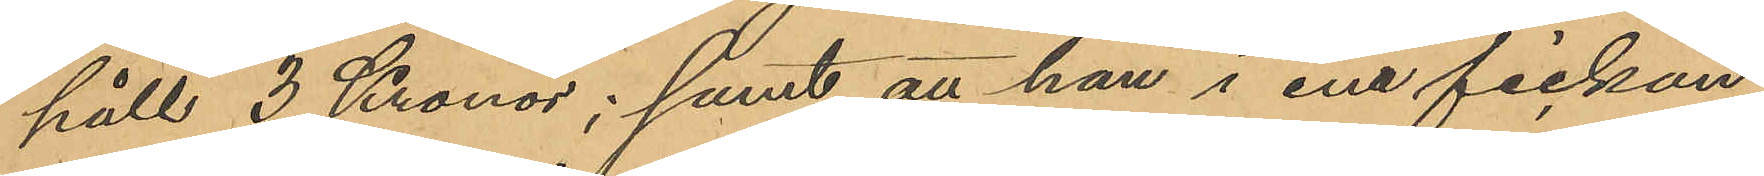häll 3 Kronor; samt att han i ena fickan
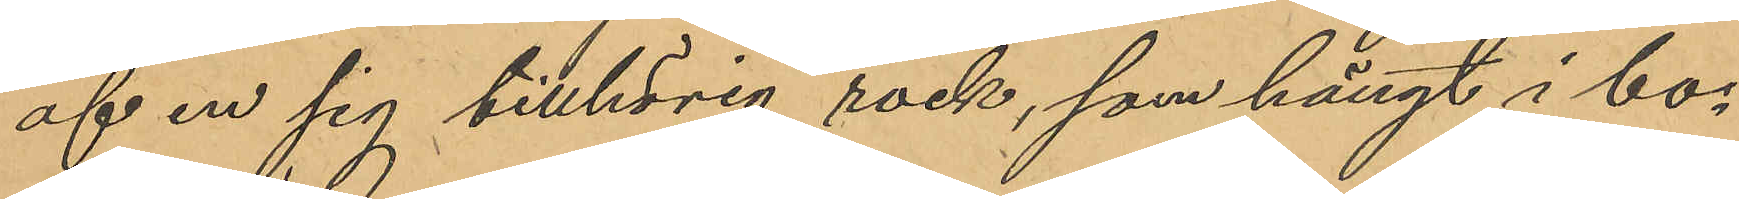af en sig tillhörig rock, som hängt i bo¬
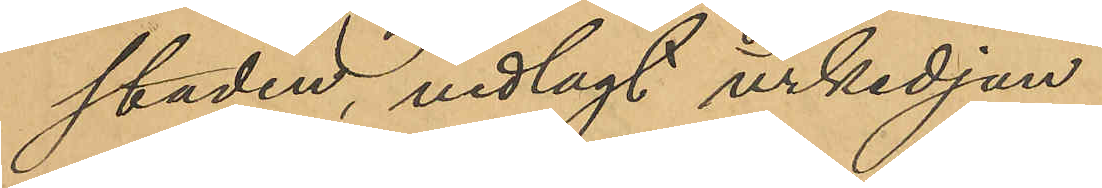staden, nedlagt urkedjan.
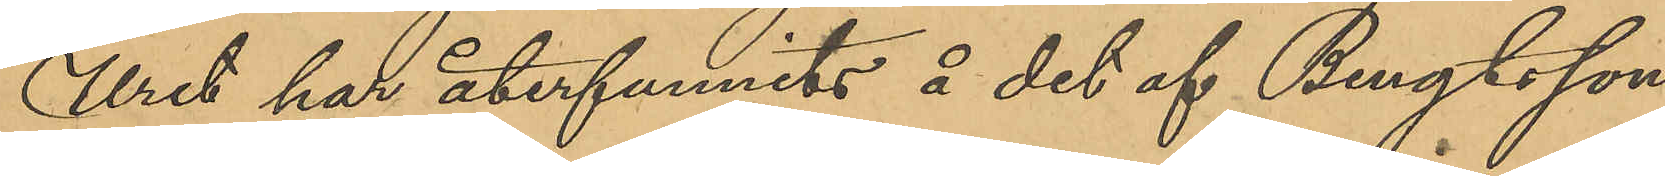Uret har återfunnits å det af Bengtsson
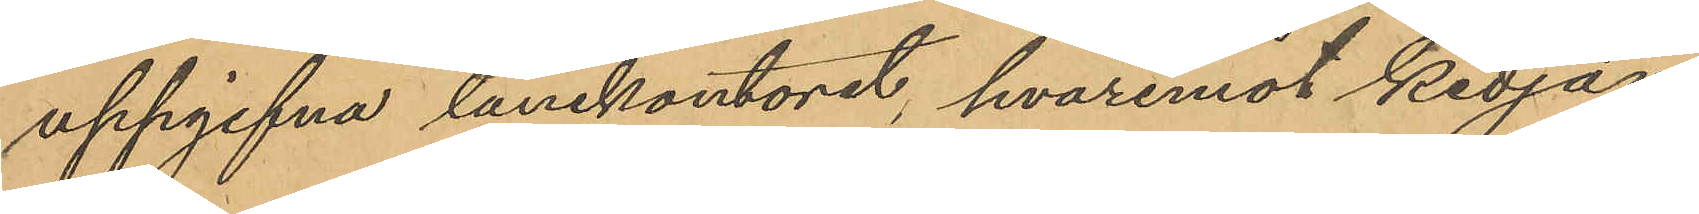uppgifna lånekontoret, hvaremot kedjan
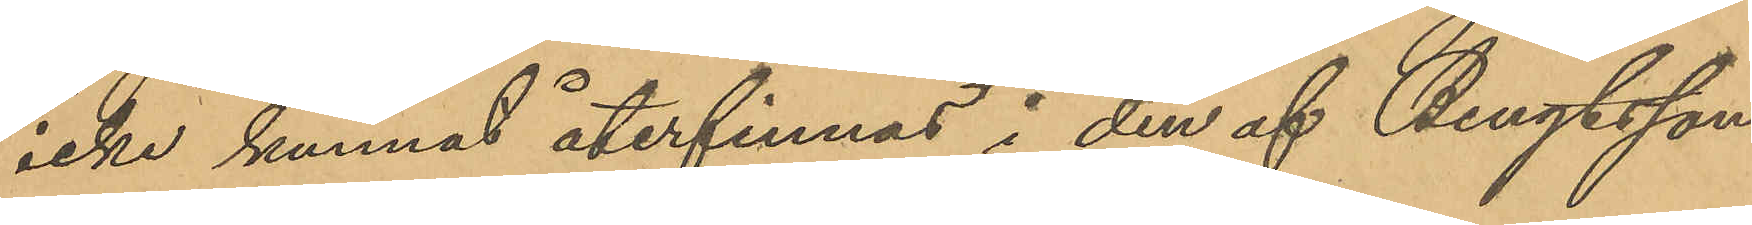icke kunnat återfinnas i den af Bengtsson
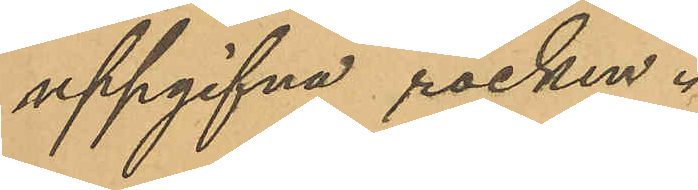uppgifna rocken.
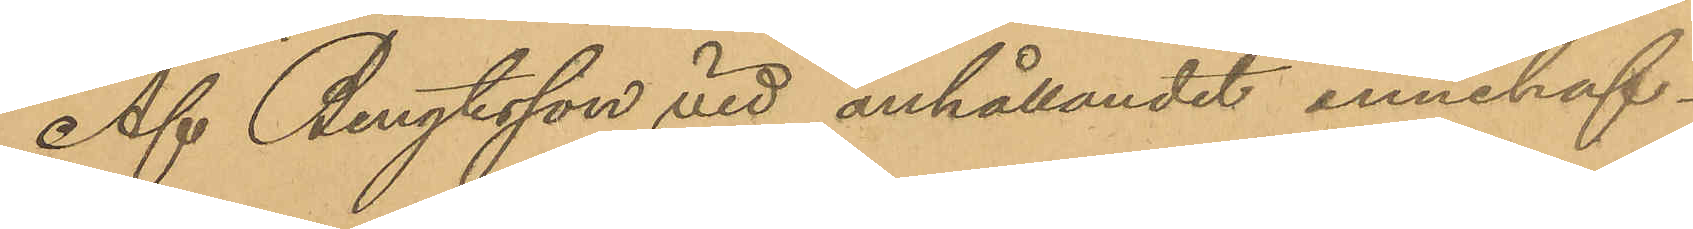Af Bengtsson vid anhållandet innehaf¬
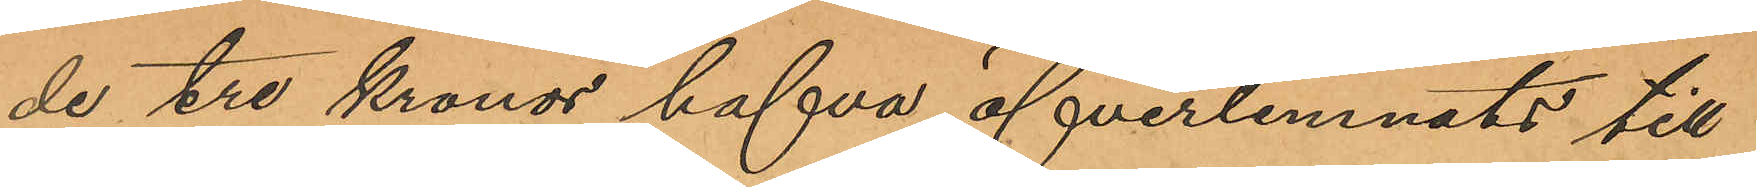de tre kronor hafva öfverlemnats till
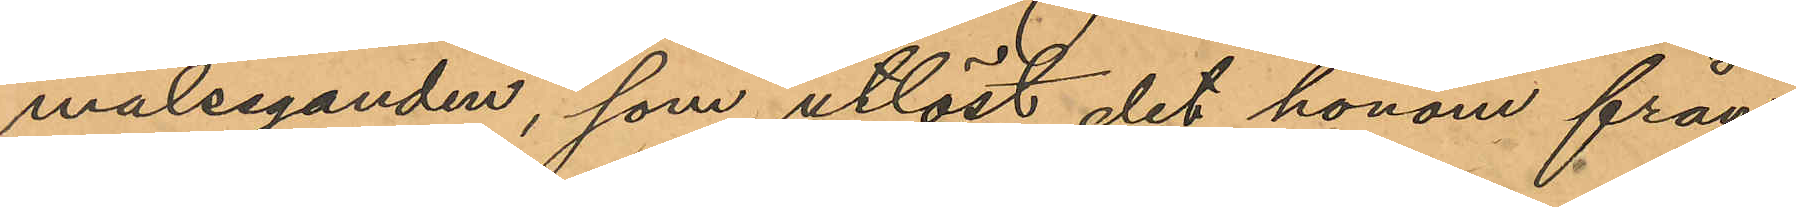målseganden, som utlöst det honom från¬
